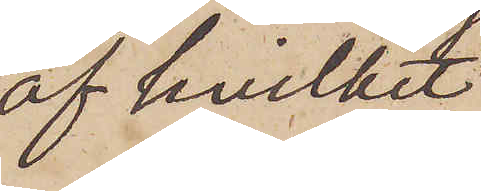af hvilket
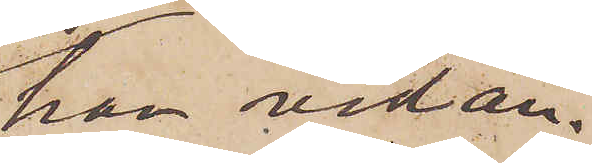han vid an¬
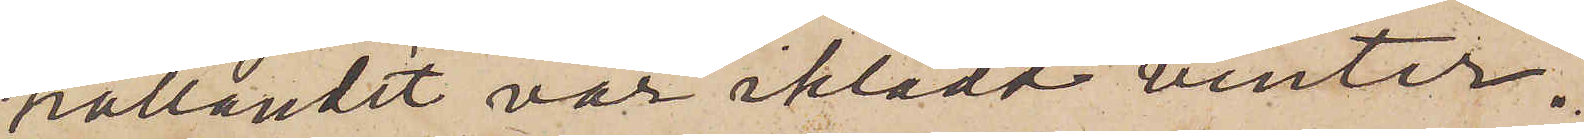hållandet var iklädd vinter¬
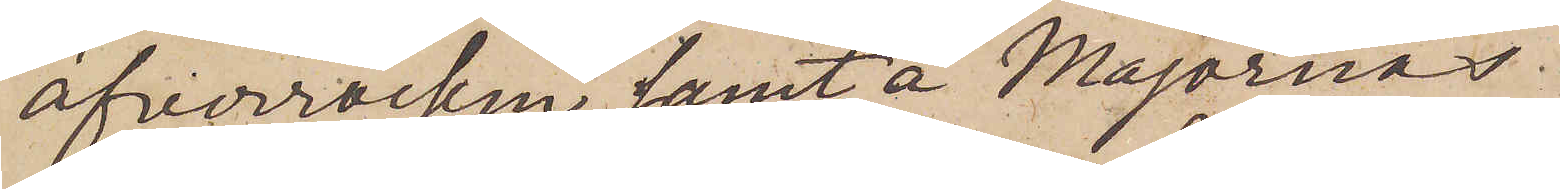öfverrocken samt å Majornas.
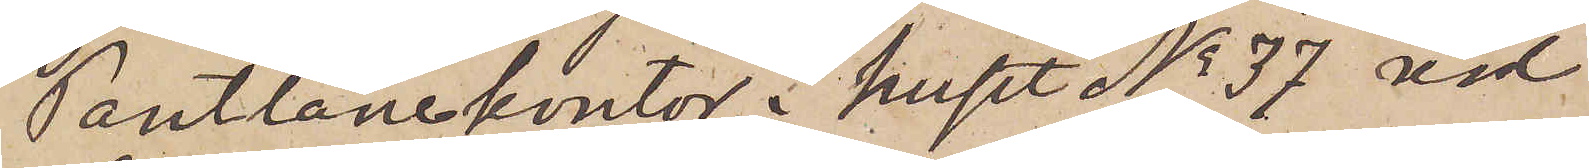Pantlånekontor i huset No 37 vid
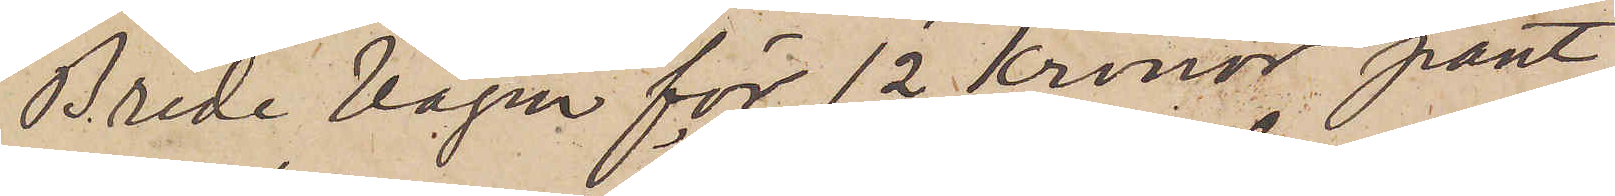Brede Vägen för 12 Kronor pant¬
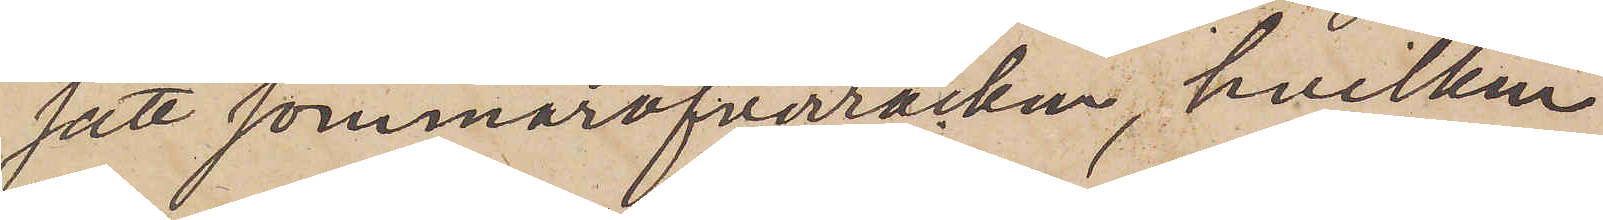satt sommaröfverrocken, hvilken
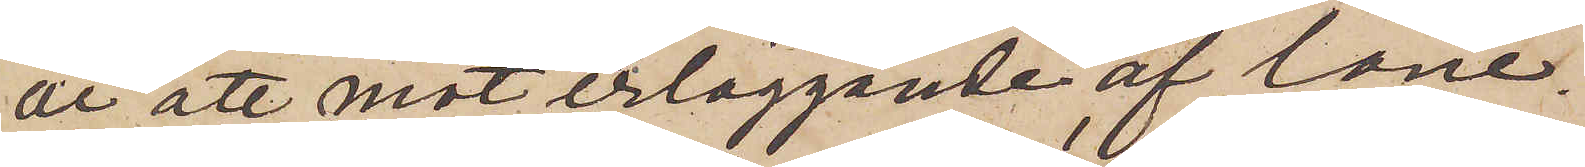är att mot erläggande af låne¬
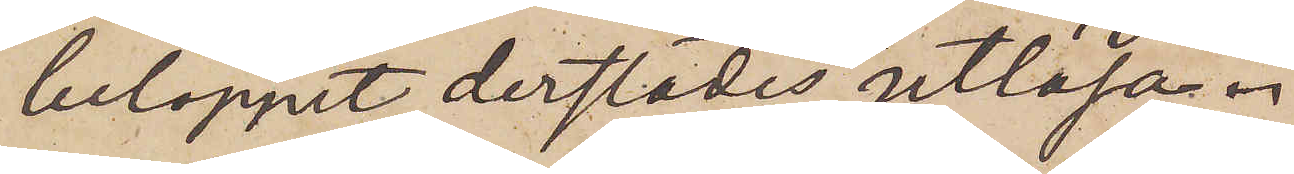beloppet derstädes utlösa.
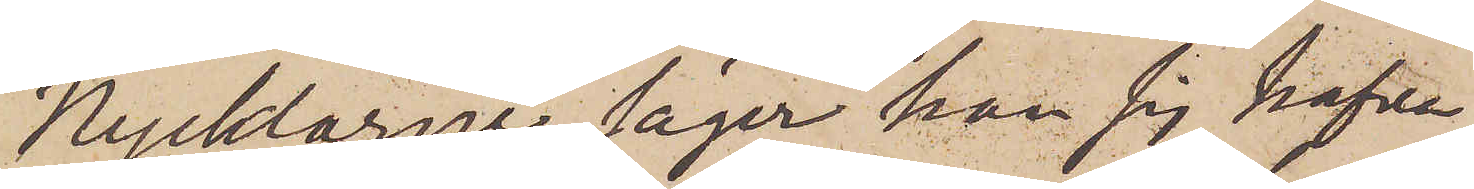Nycklarne säger han sig hafva
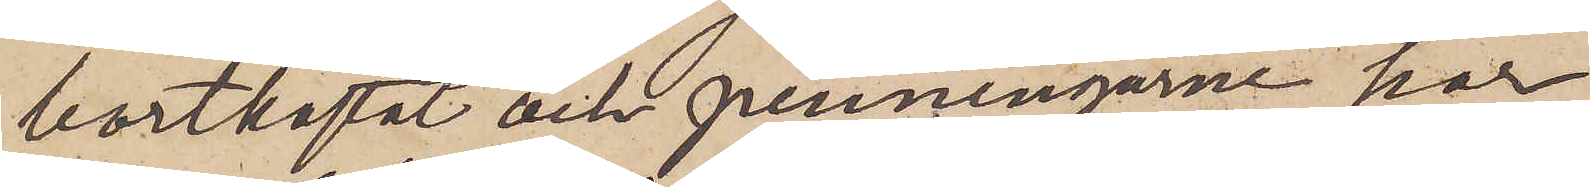bortkastat och penningarne har
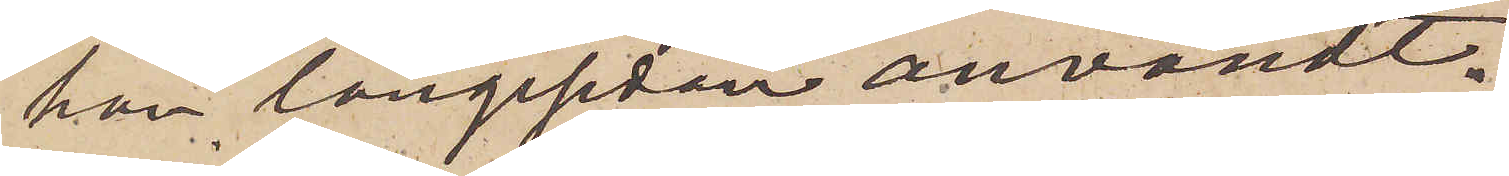han längesedan användt.
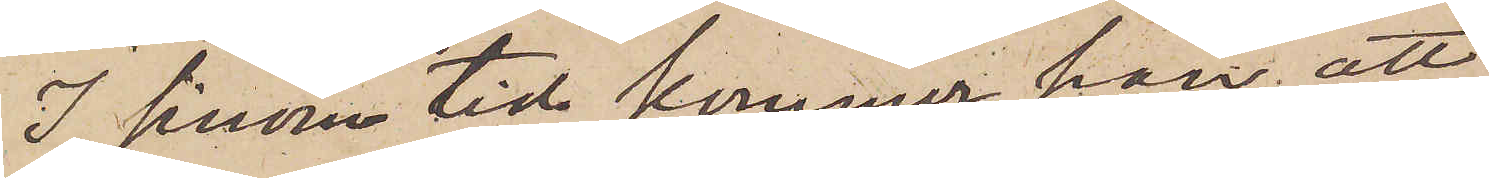I sinom tid kommer han att
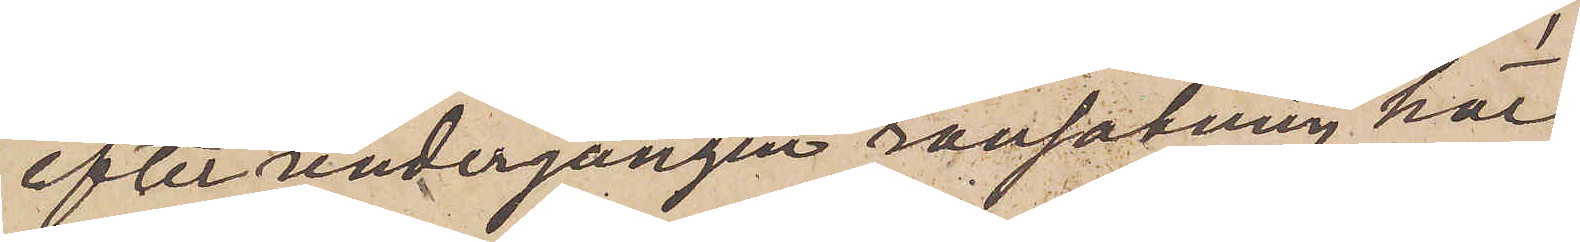efter undergången ransakning här
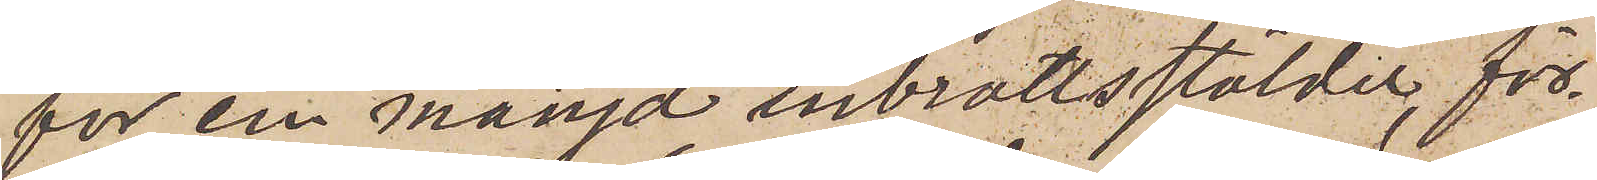för en mängd inbrottsstölder, för¬
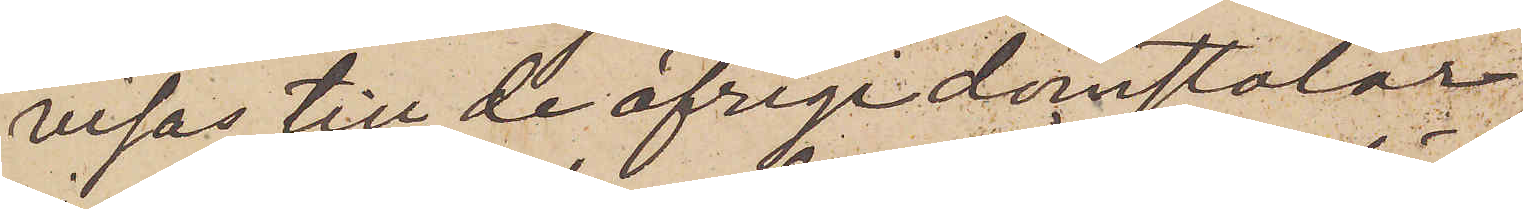visas till de öfrige domstolar,
